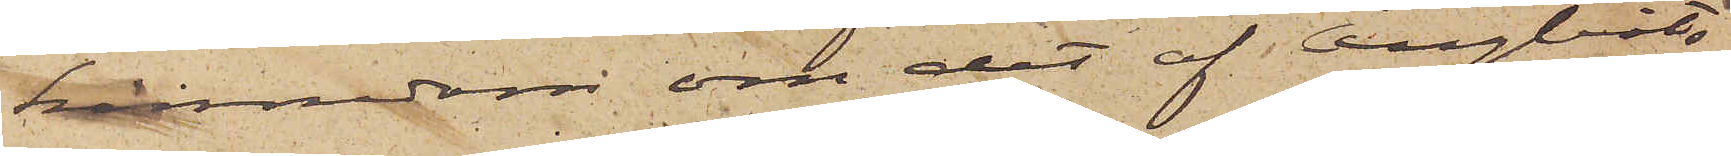kännedom om det af Ångbåts¬
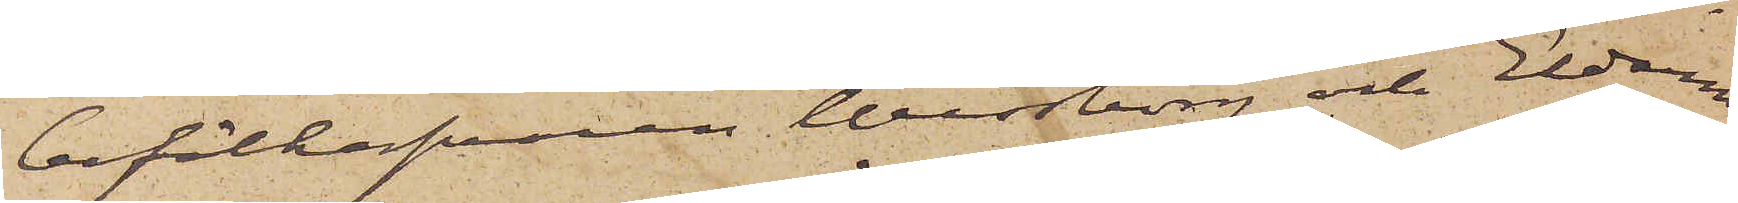befälhafvaren Wessborg och Eldaren
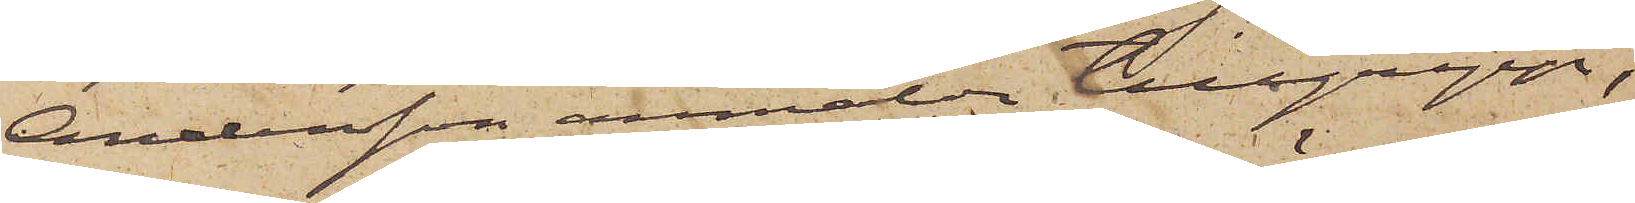Andersson anmälda tillgrepp,
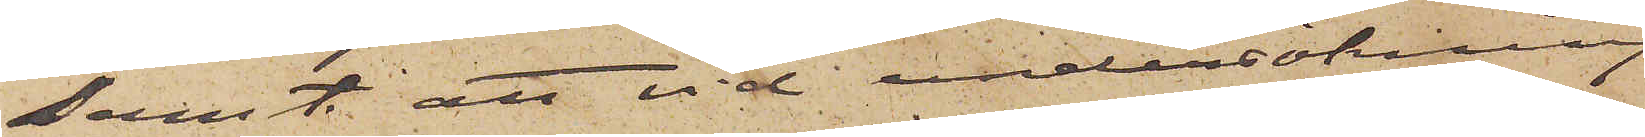samt att vid undersökning
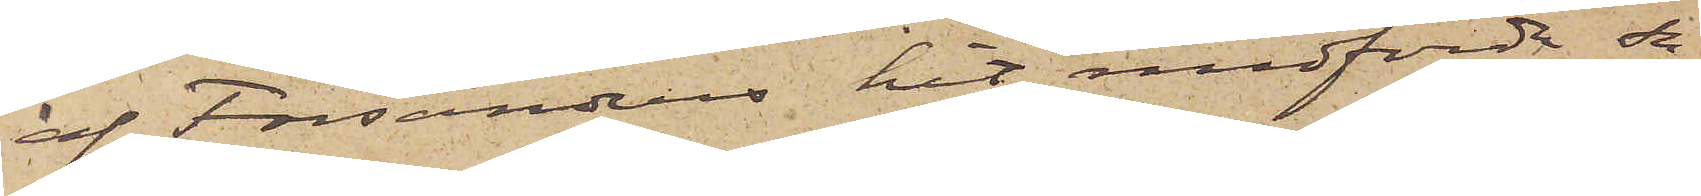af Forsanders hit medförda sa¬
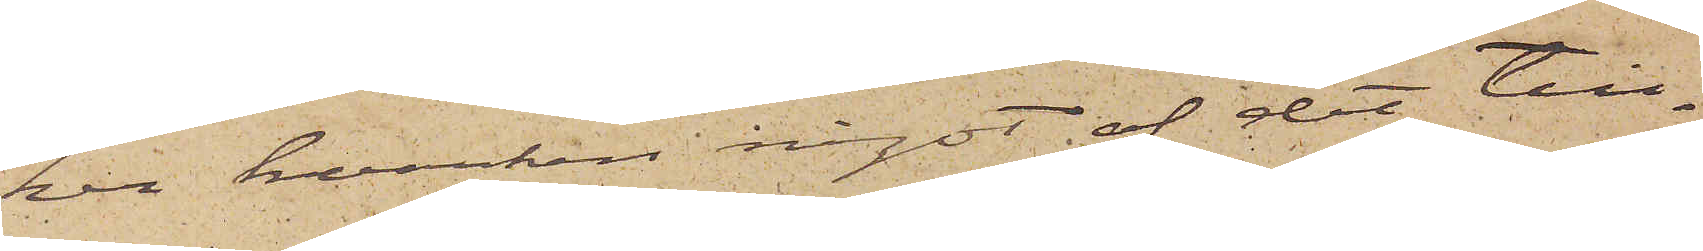ker hvarken något af det till¬
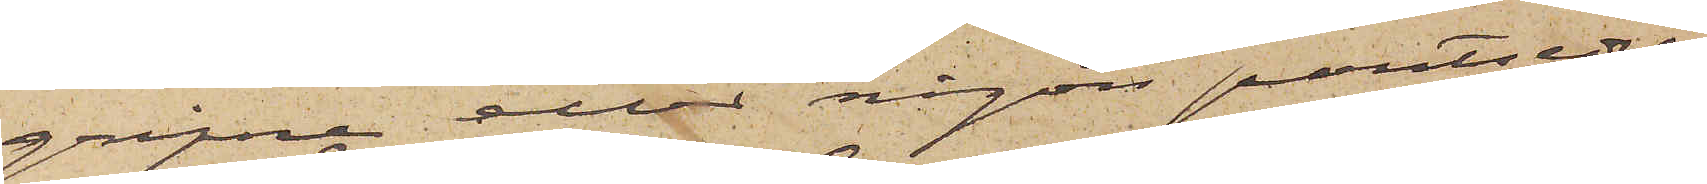gripne eller någon pantsedel
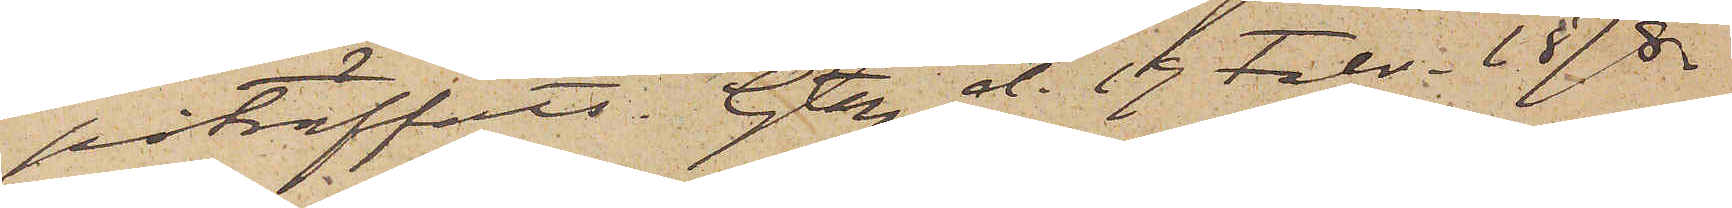påträffats. Gtbg d. 19 Febr. 1878.
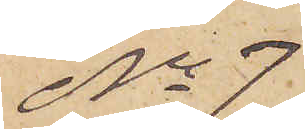No 7
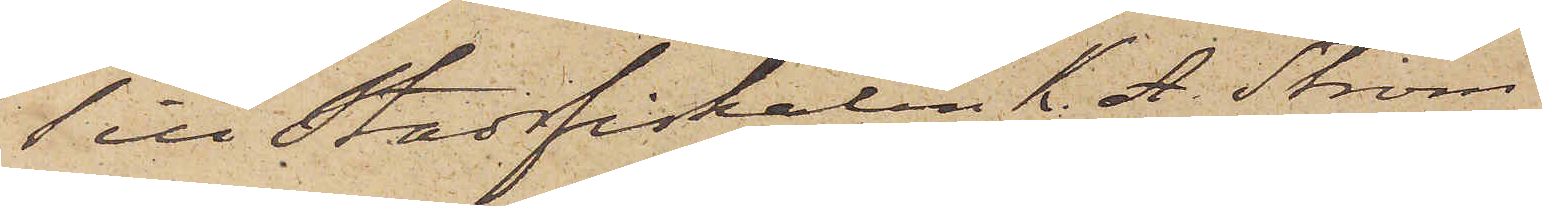Till Stadsfiskalen K. A. Ström
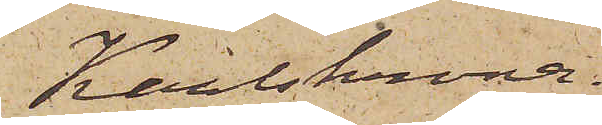Karlskrona.
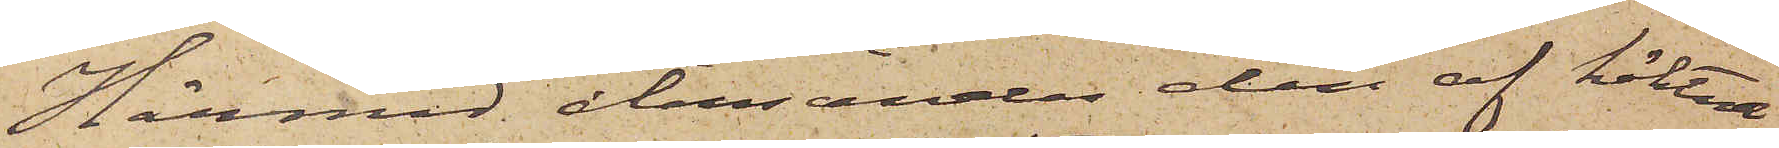Härmad återsändes den af häktade,
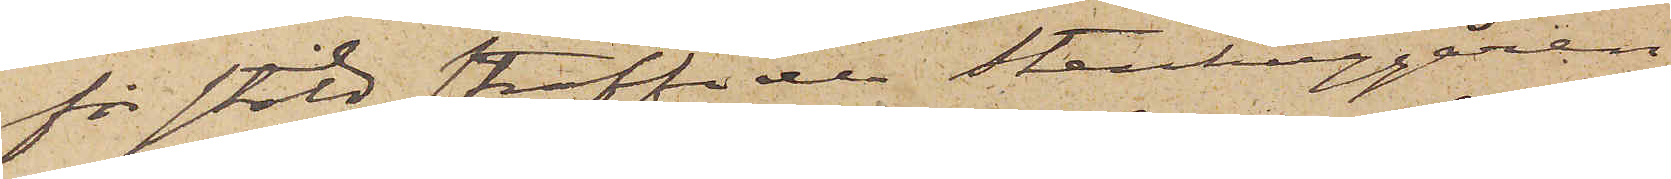för stöld straffade Stenhuggaren
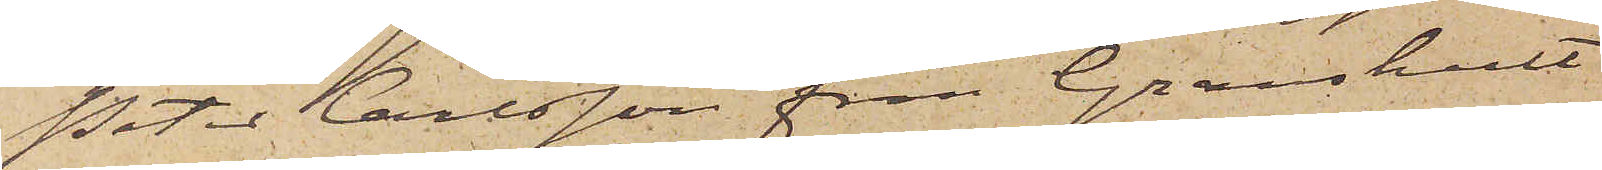Peter Carlsson från Granshult
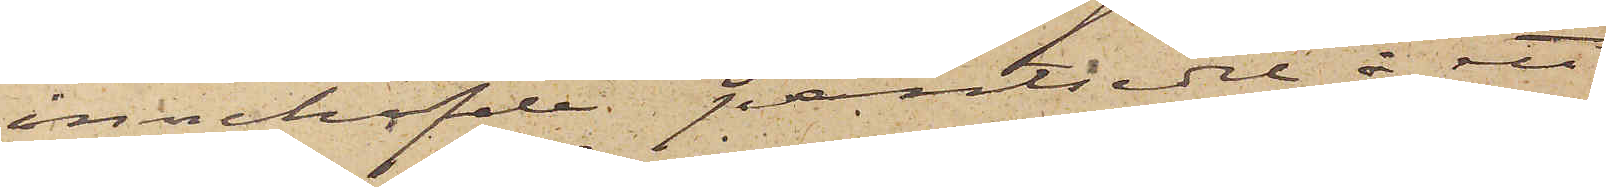innehafde pantsedel å ett
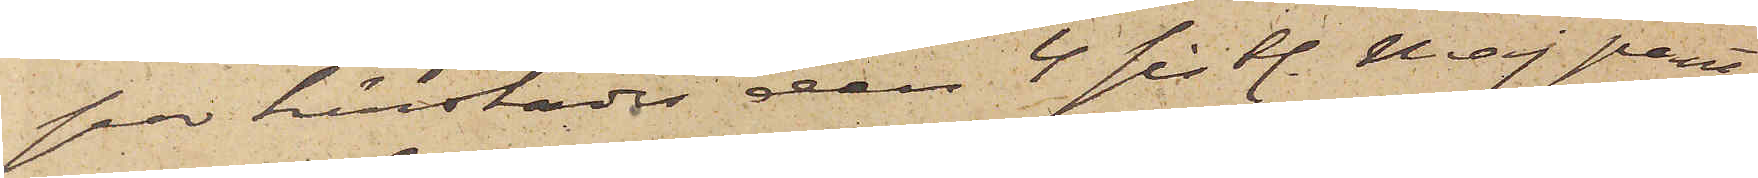par härstädes den 4 sistl. Maj pant¬
